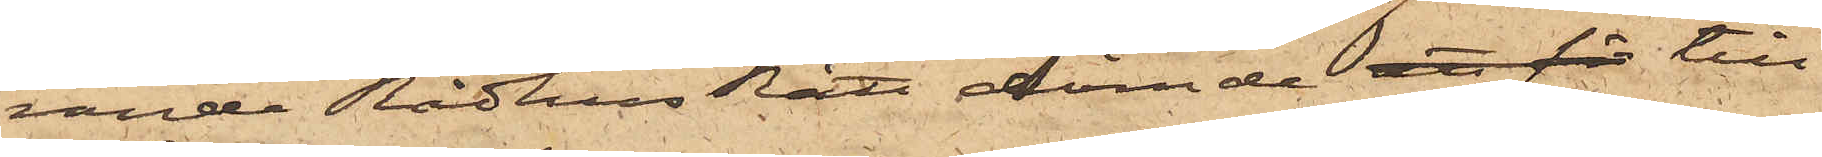rande Rådhus Rätt dömde att för till
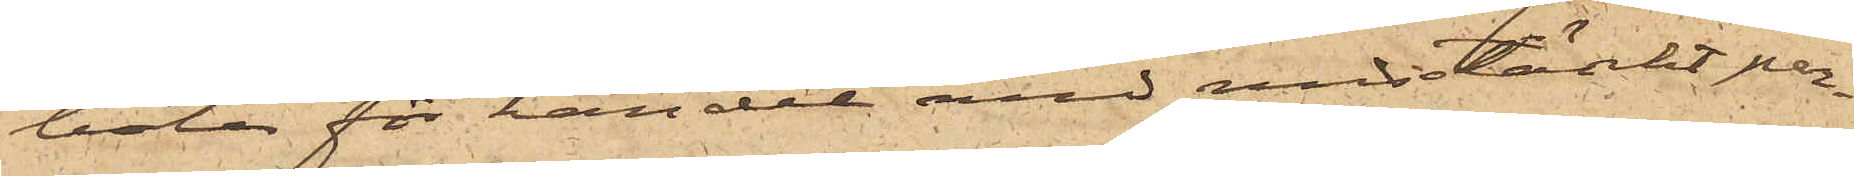böter för handel med misstänkt per¬
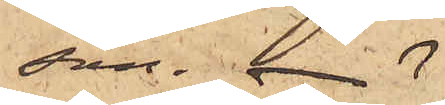son.
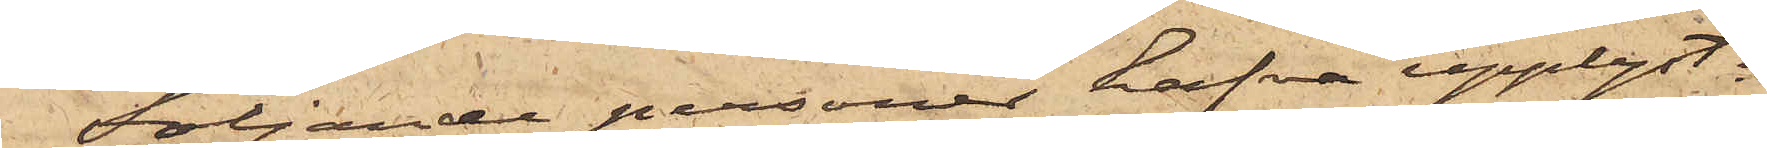Följande personer hafva upplyst:
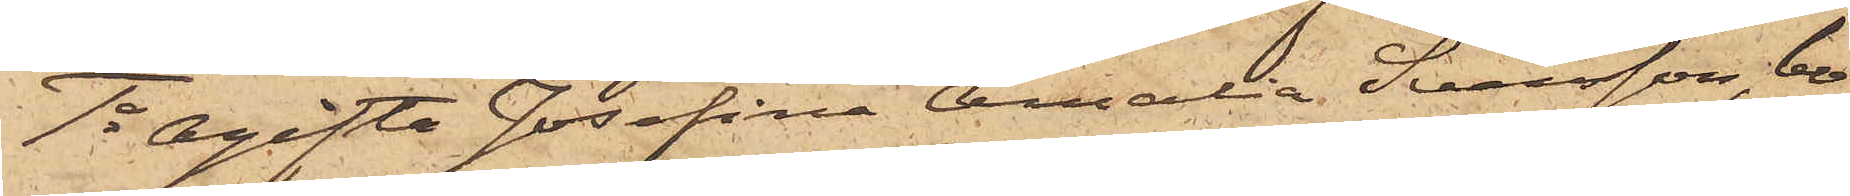1o Ogifta Josefina Amalia Svensson, bo¬
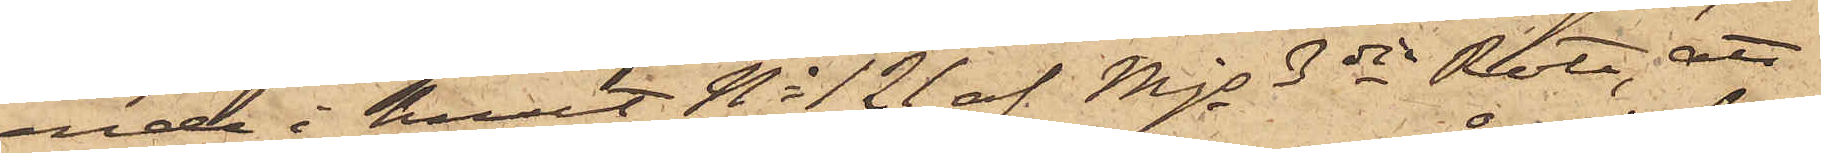ende i huset No 121 af Mjs 3dje Rote, att
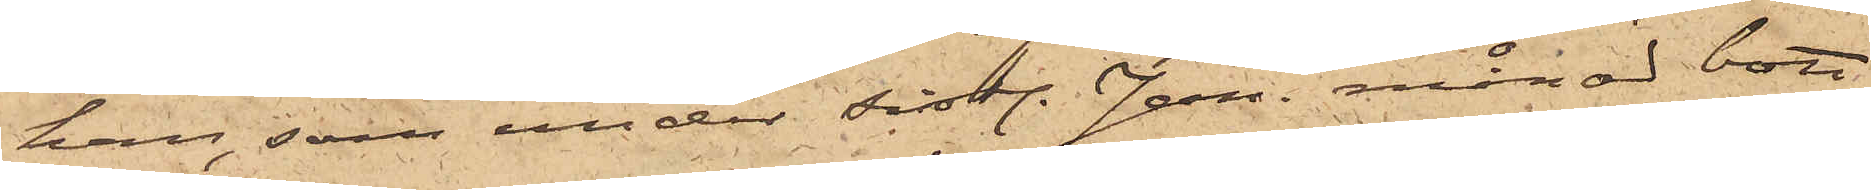hon, som under sistl. Jan. månad bott
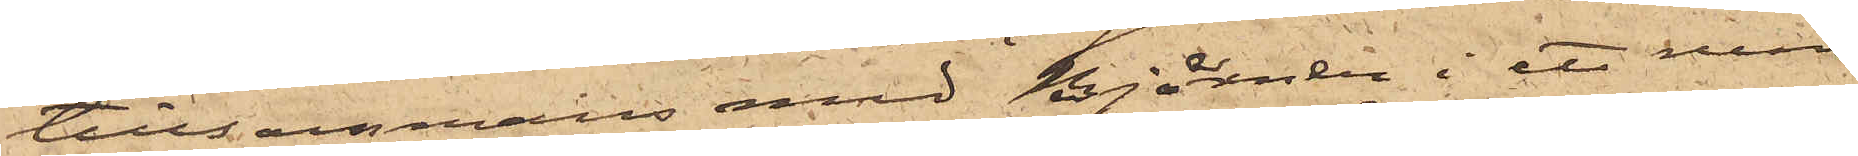tillsammans med Björner i ett rum
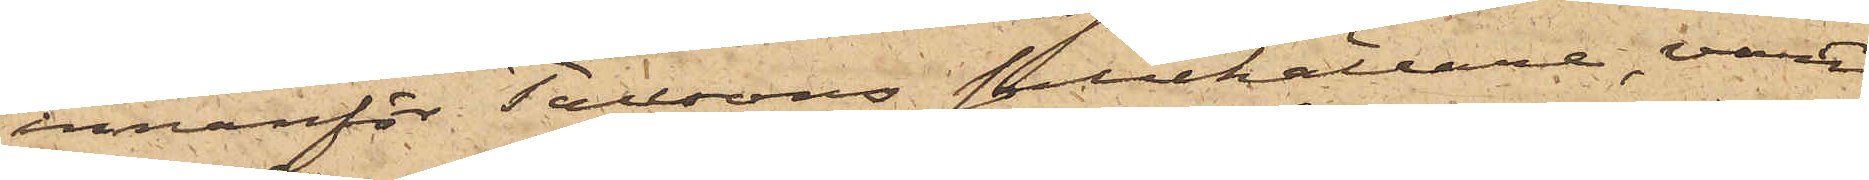innanför Taussons salukällare, varit
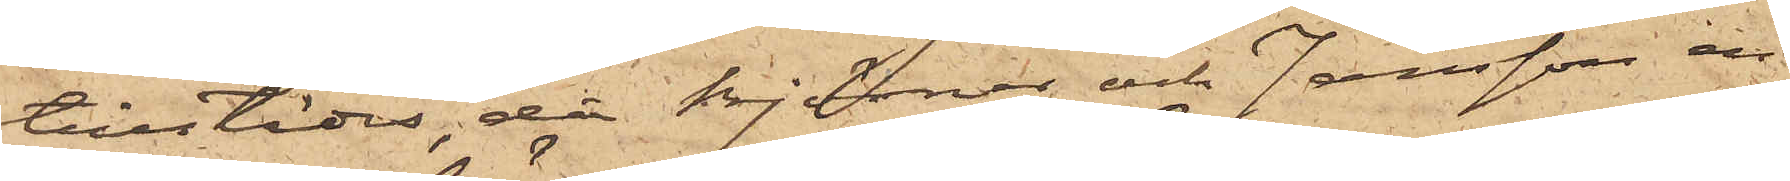tillstädes, då Björner och Jansson en
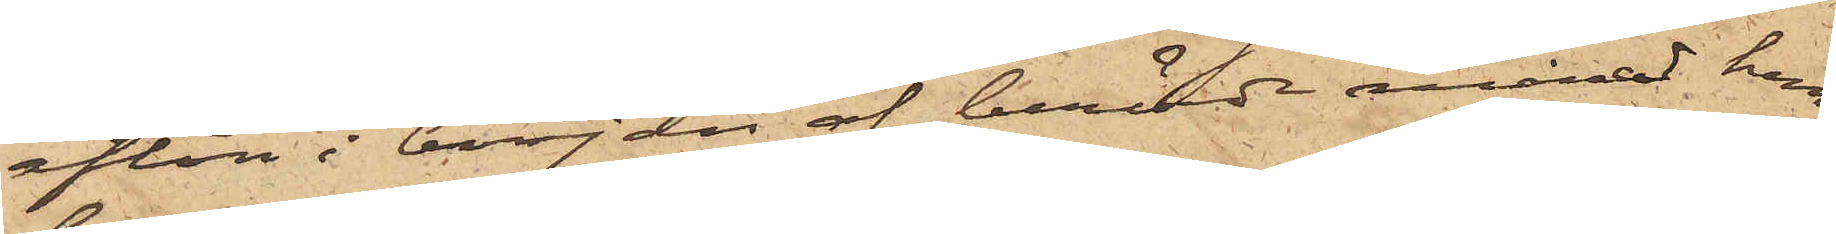afton i början af berörde månad hem¬
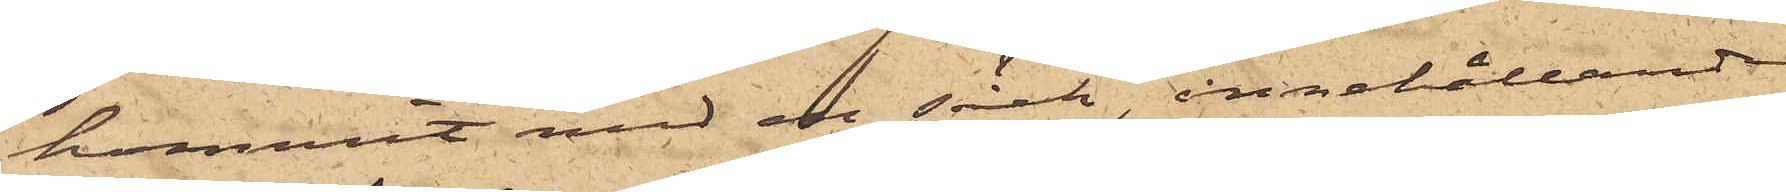kommit med en säck, innehållande
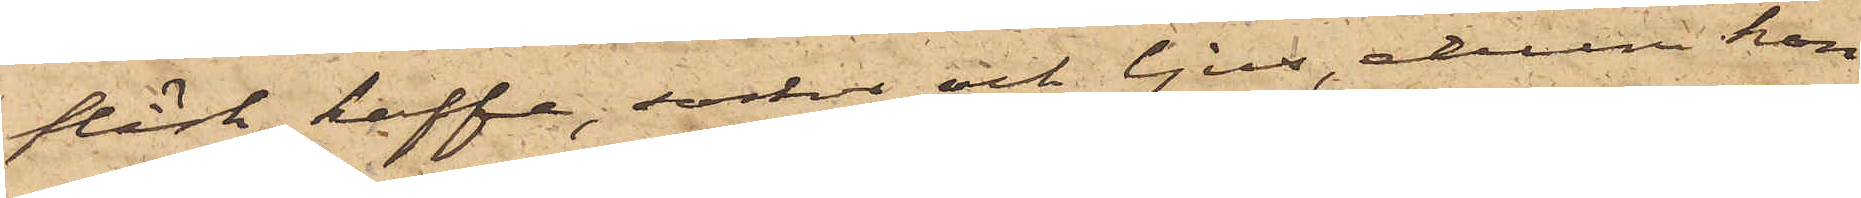fläsk, kaffe, socker och ljus, ehuru hon
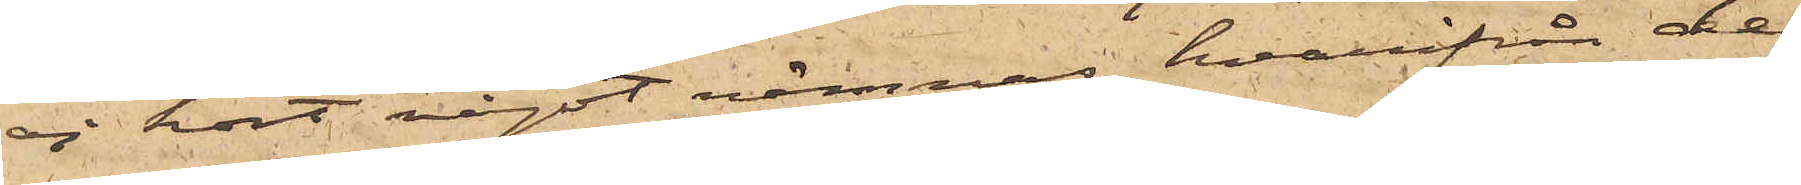ej hört något nämnas, hvarifrån de
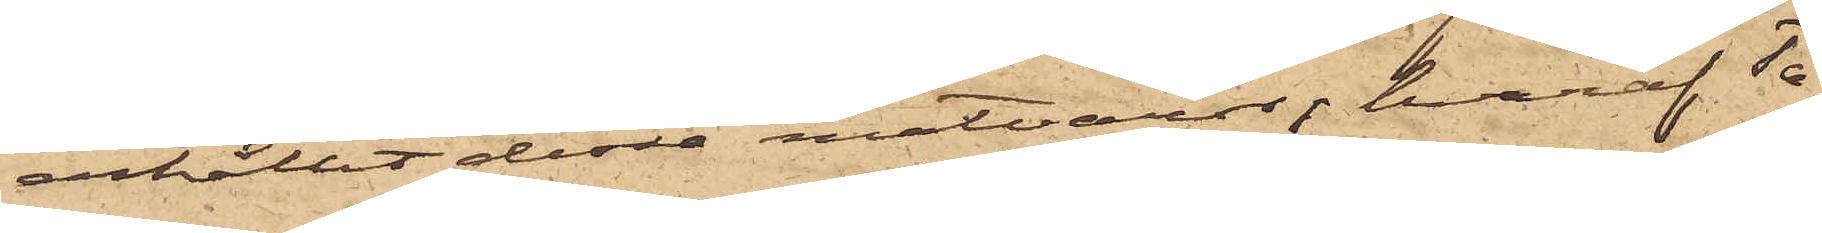erhållit dessa matvaror, hvaraf Ta¬
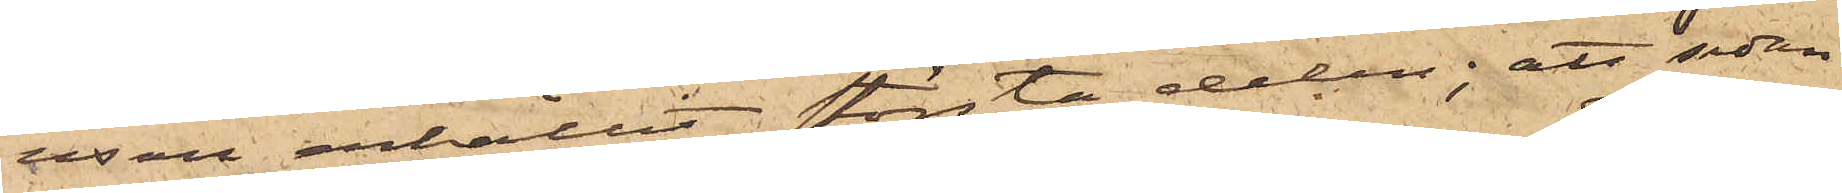usson erhållit största delen; att sedan
